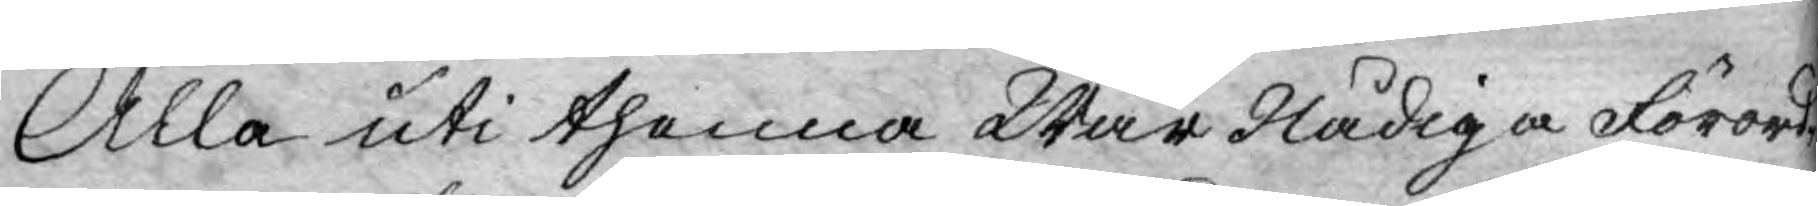Alla uti thenna Wår Nådiga Förord¬
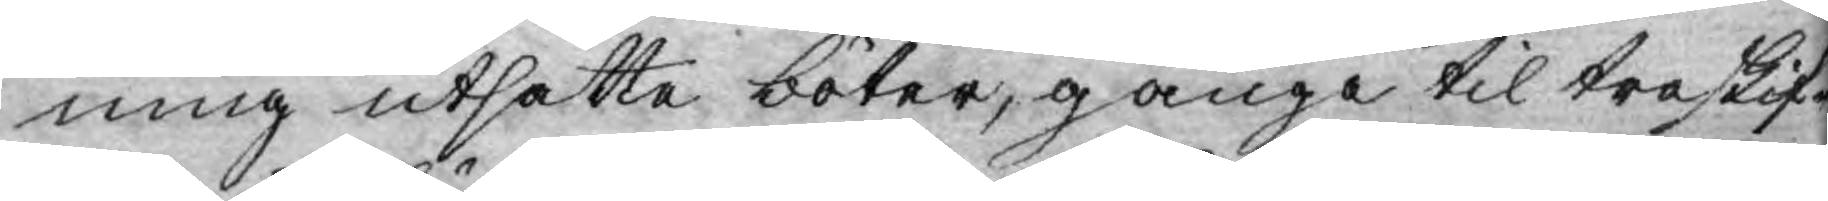ning utsatte böter, gånge til treskif¬
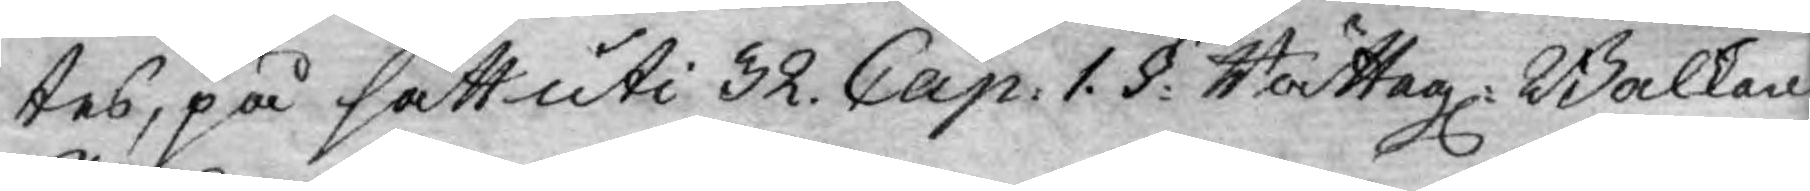tes, på sätt uti 32. Cap: 1. §: Rättegl: Balken
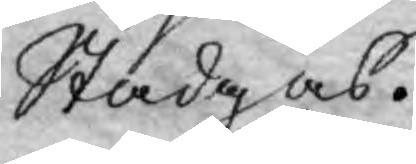Stadgas.
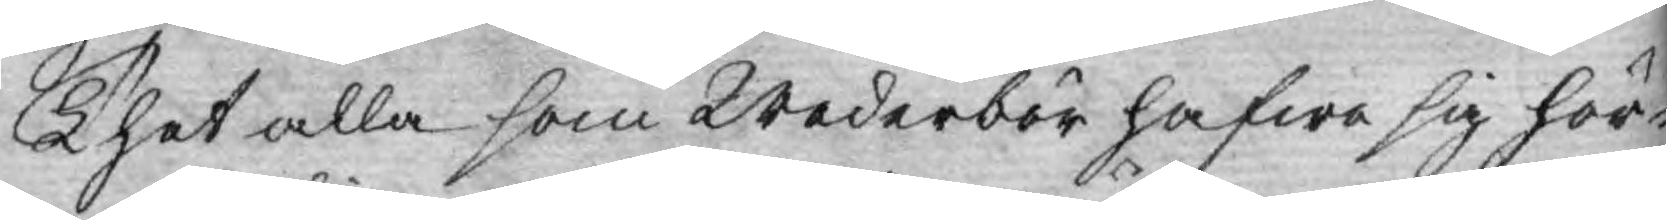Thet alla som Wederbör hafwa sig hör¬
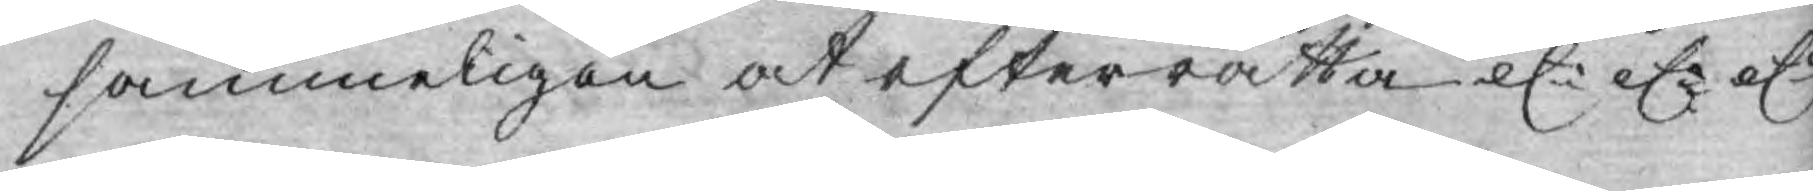sammeligen at efterrätta et: et: et:
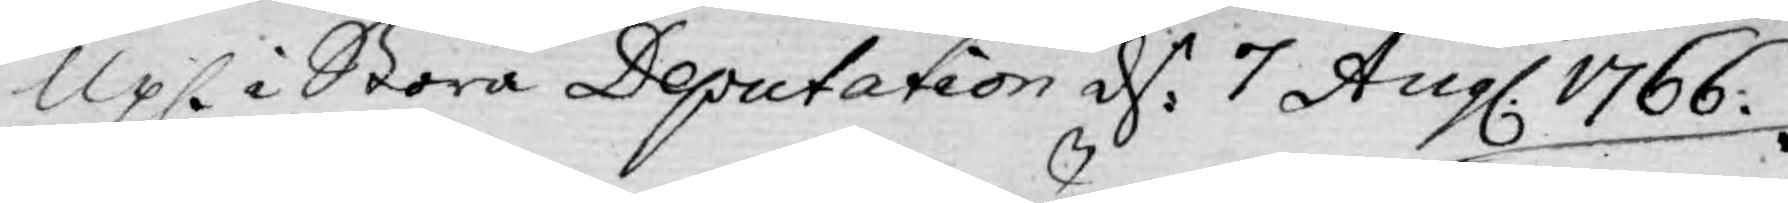Upl. i Stora Deputation d: 7 Aug. 1766.
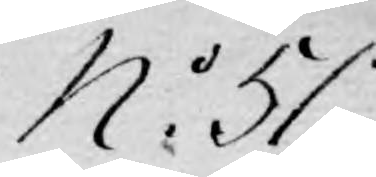No 51.
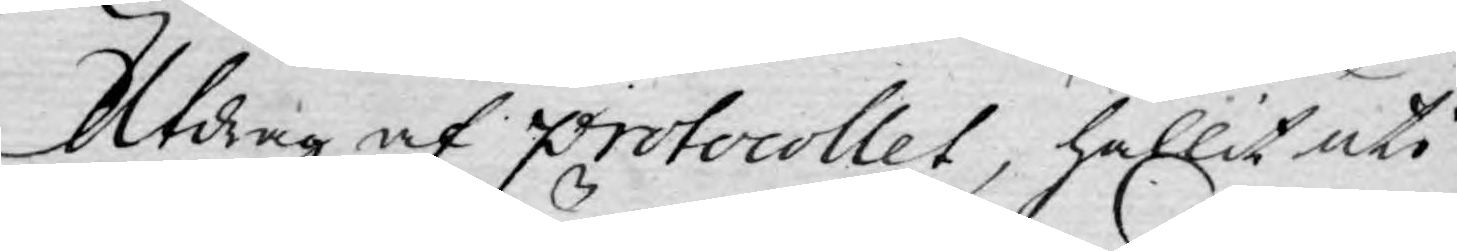Utdrag af protocollet, hållit uti
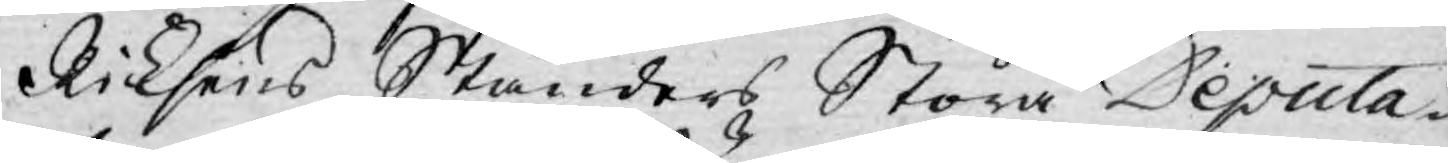Riksens Ständers Stora Deputa¬
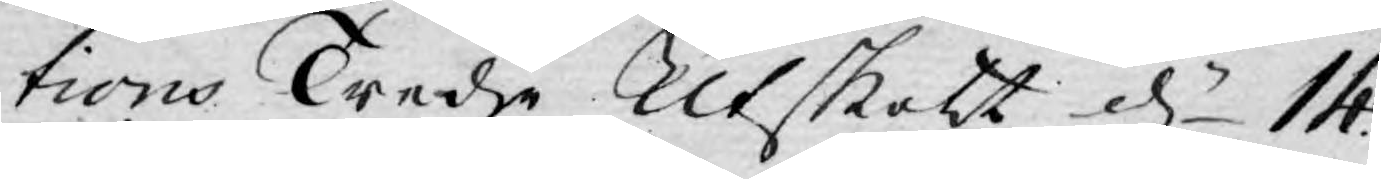tions Tredje Utskott d 14.
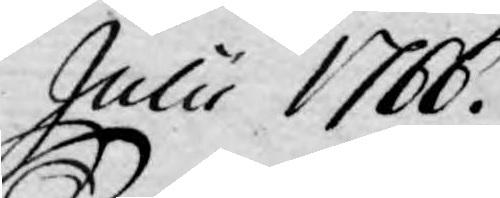Julii 1766.
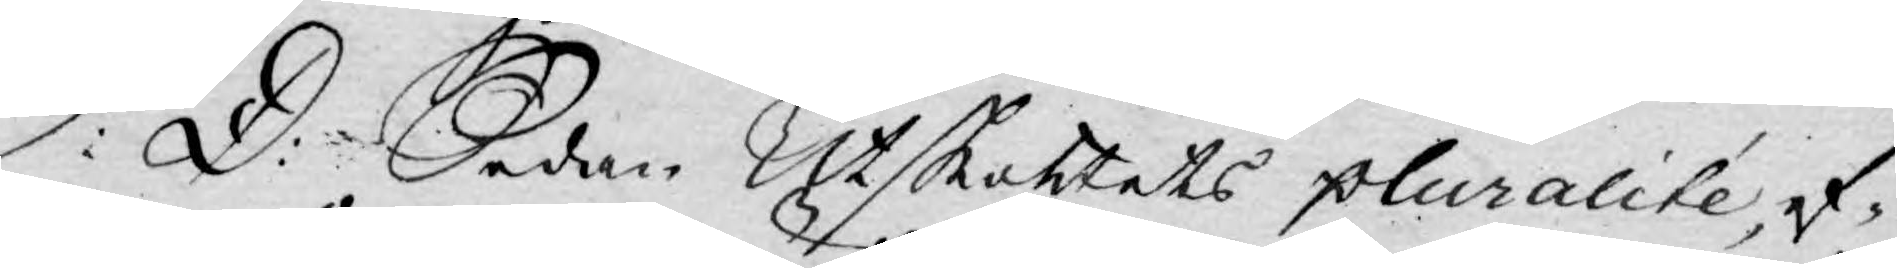S: D: Sedan Utskottets pluralité, ef¬
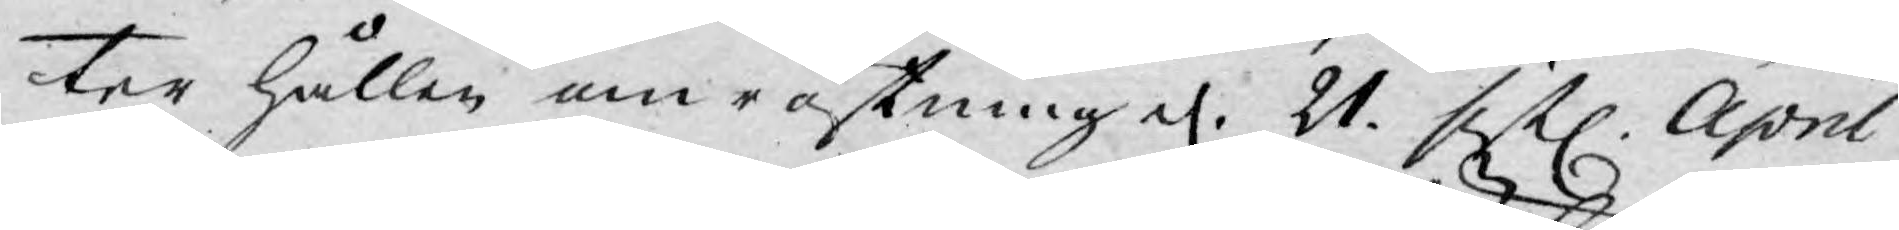ter hållen omröstning d. 21. sistl. April
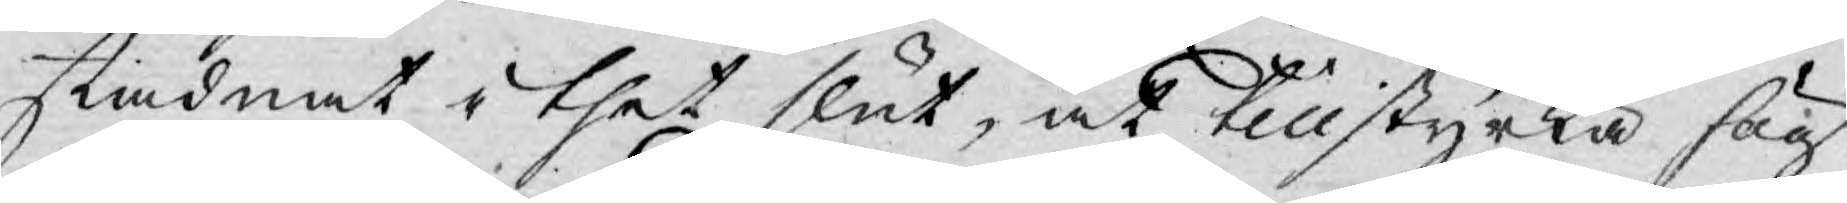stadnat i thet slut, at tillstyrka hög¬
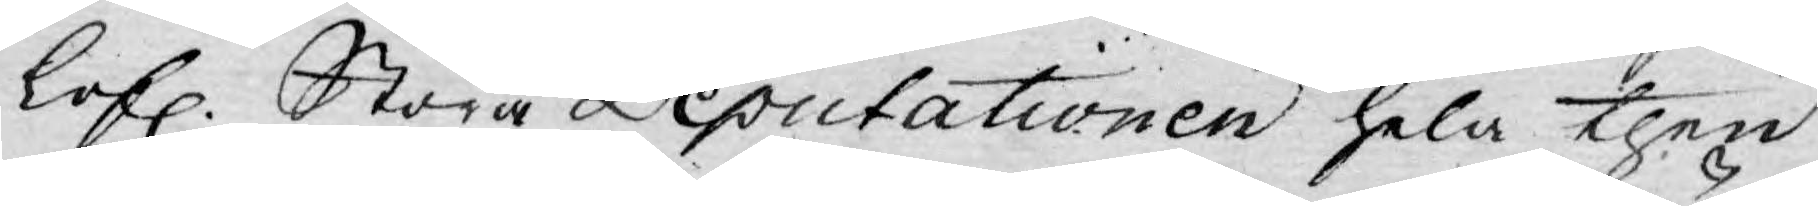lofl. Stora Deputationen hela then
